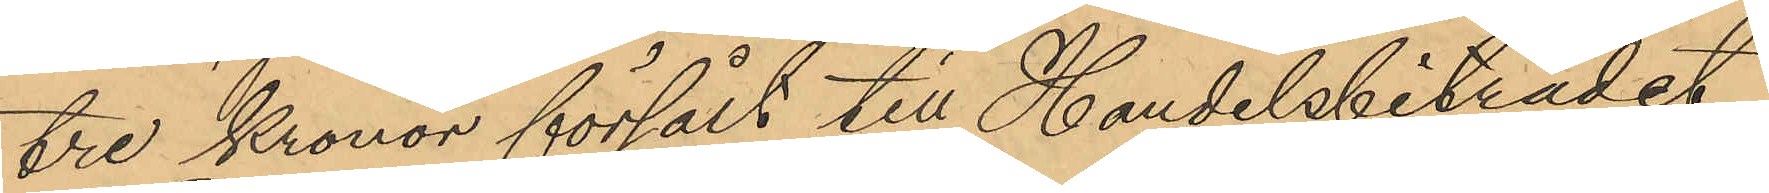tre Kronor försålt till Handelsbiträdet
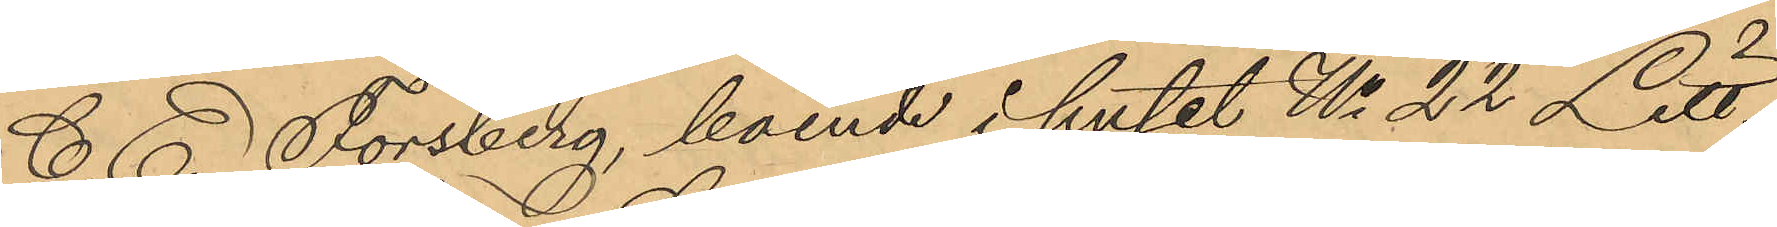C. E. Forsberg, boende i huset No 22 Litt.
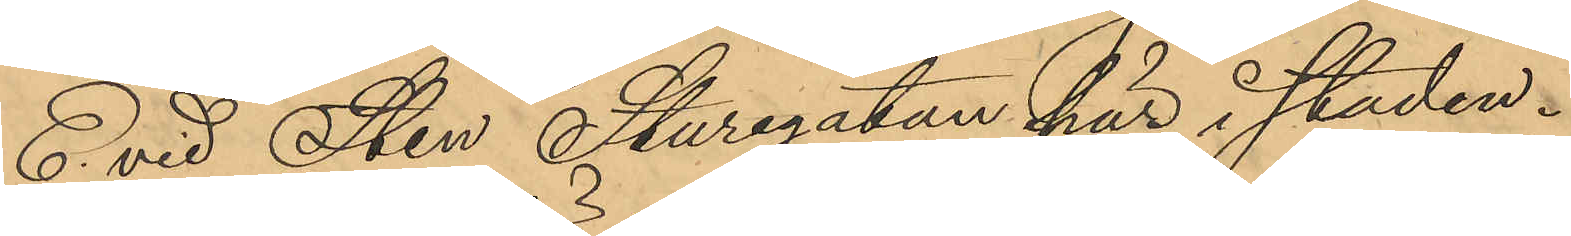E. vid Sten Sturegatan här i staden.
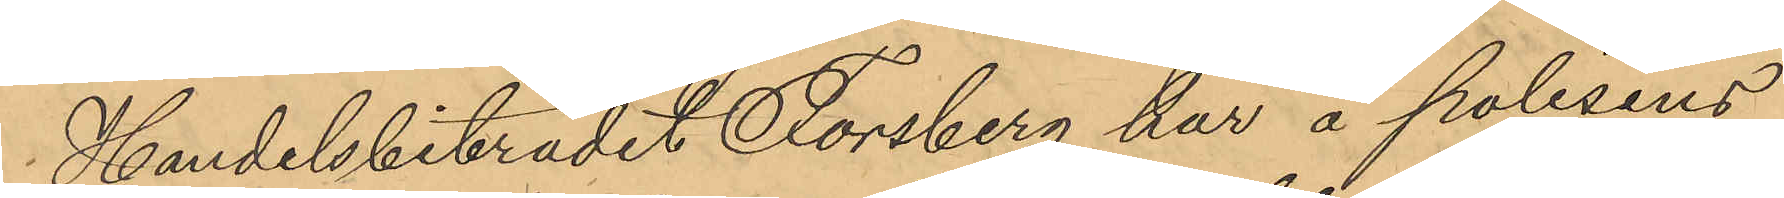Handelsbiträdet Forsberg har å polisens
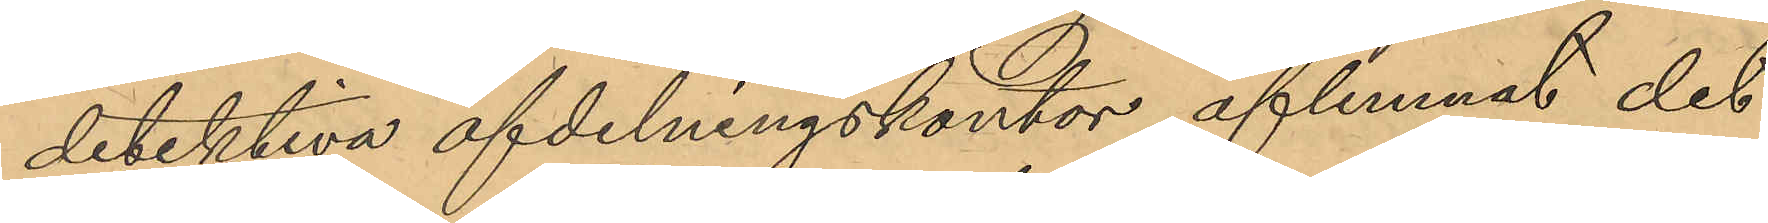detektiva afdelningskontor aflemnat det
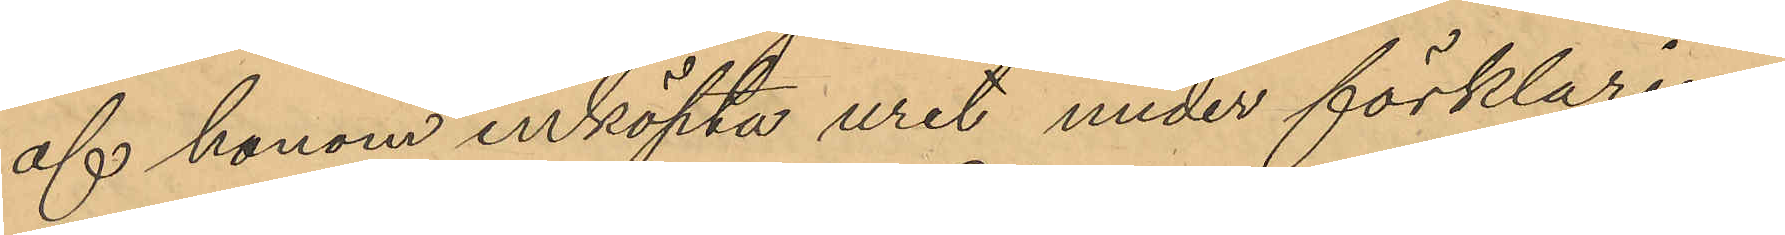af honom inköpta uret under förklaring
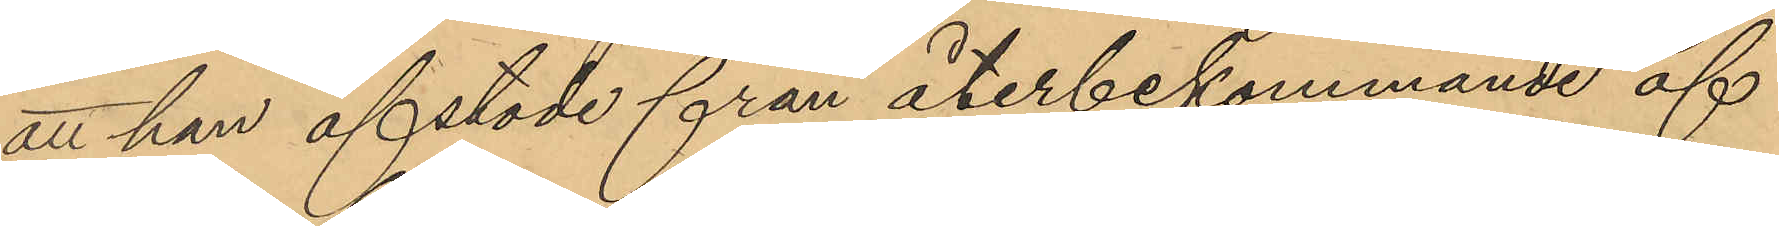att han afstode från återbekommande af
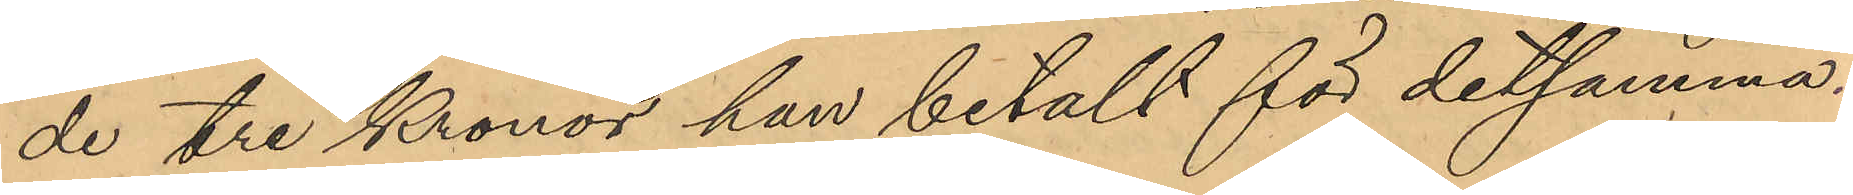de tre Kronor han betalt för detsamma.
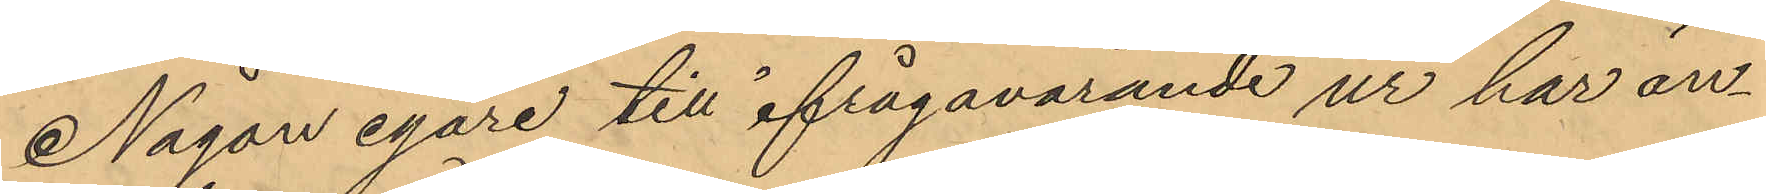Någon egare till ifrågavarande ur har än¬
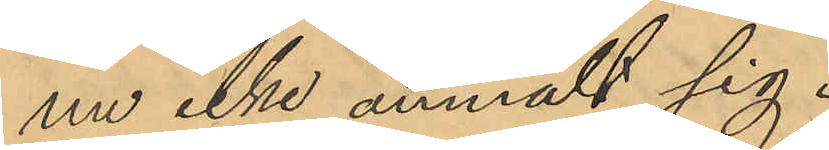nu icke anmält sig.
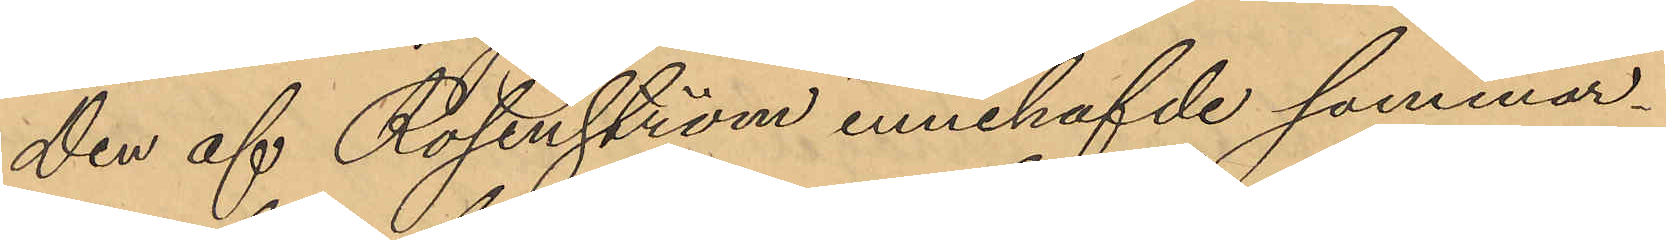Den af Rosenström innehafvde sommar¬
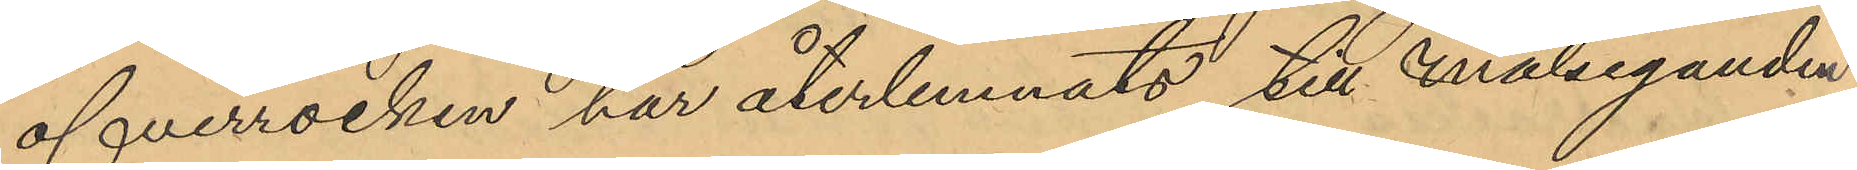öfverrocken har återlemnats till målseganden
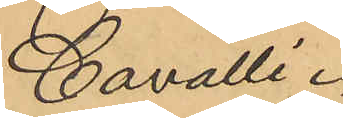Cavalli.
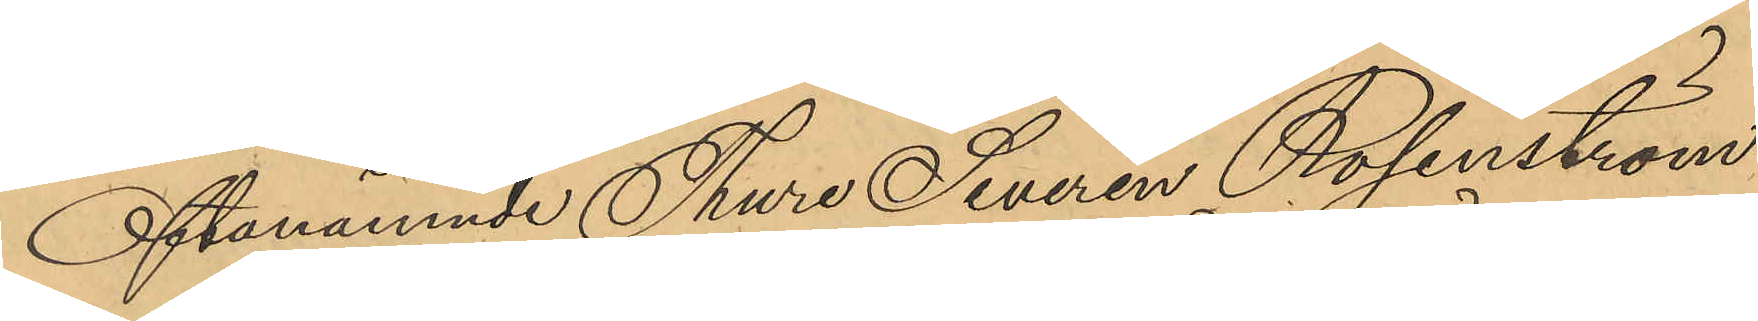Oftanämnde Thure Severin Rosenström
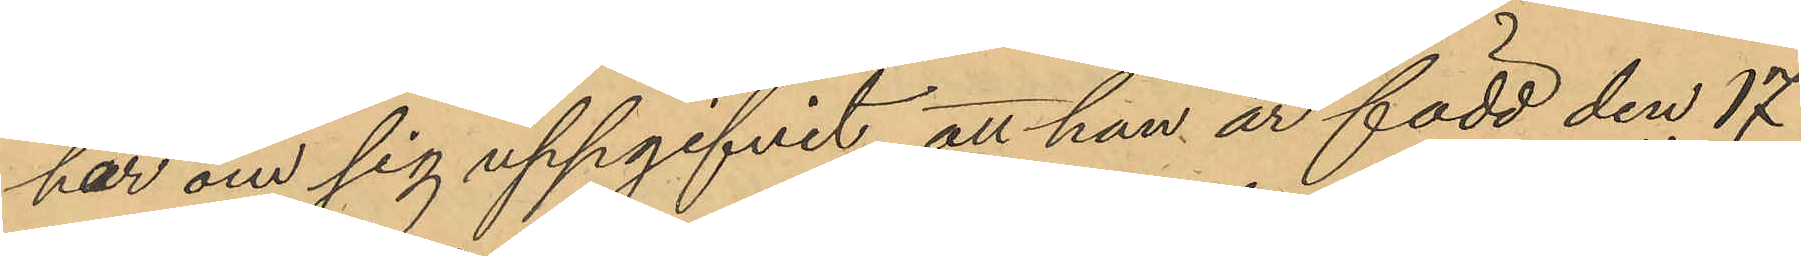har om sig uppgifvit, att han är född den 17
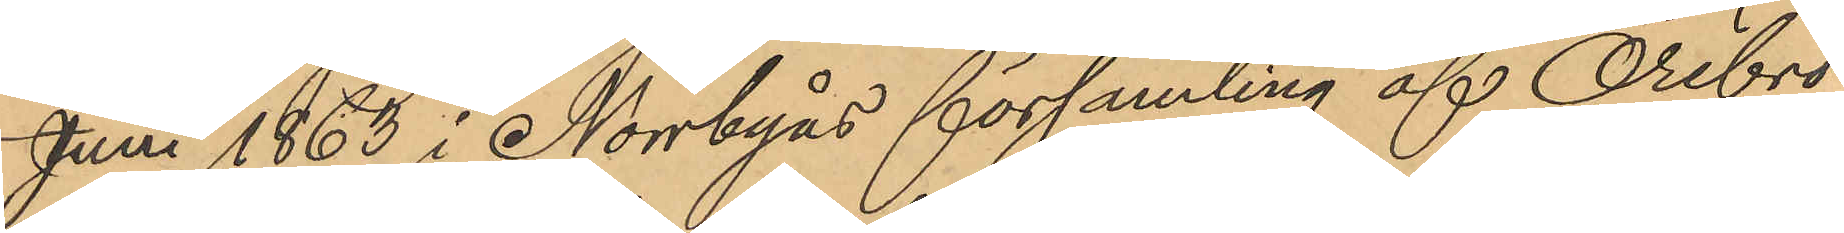Juni 1863 i Norrbyås församling af Örebro
